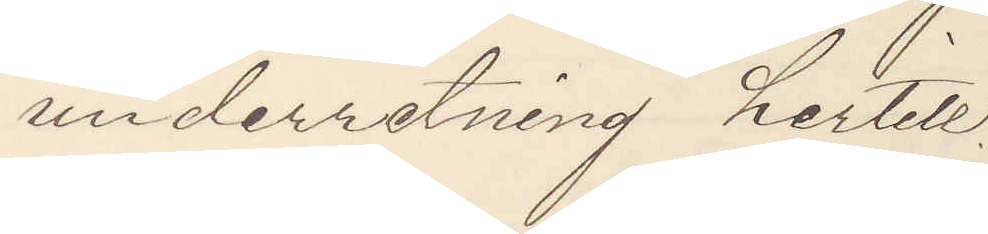underretning hertill.
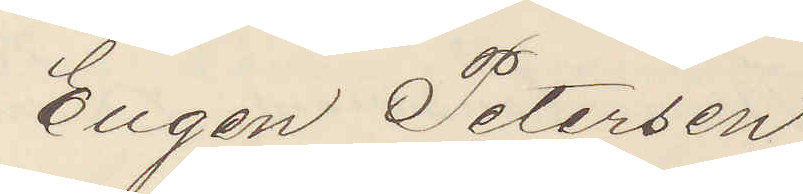Eugen Petersen
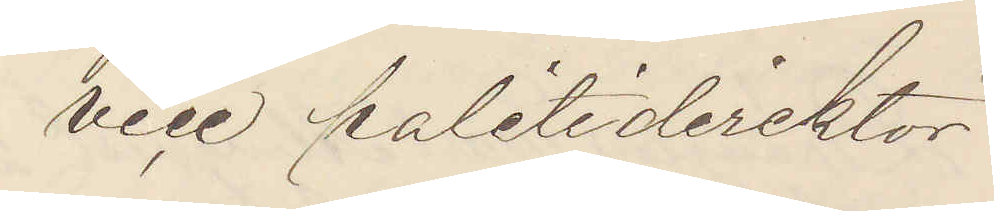vice politidirecktör
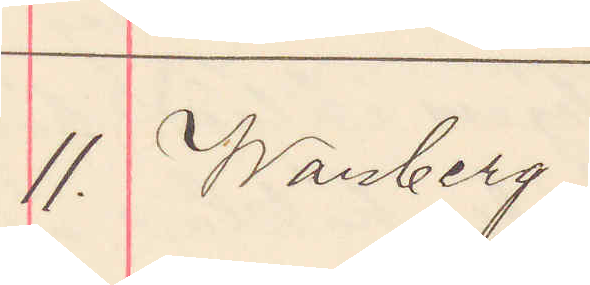11. Warberg
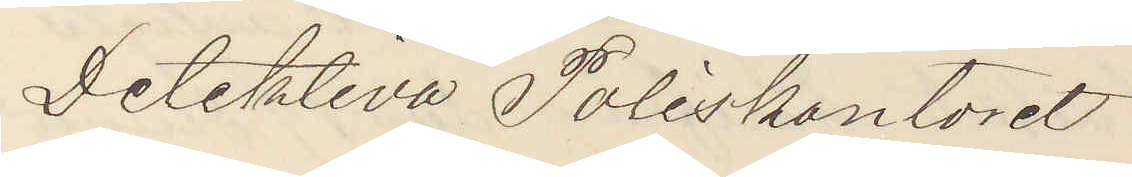Detektiva Poliskontoret
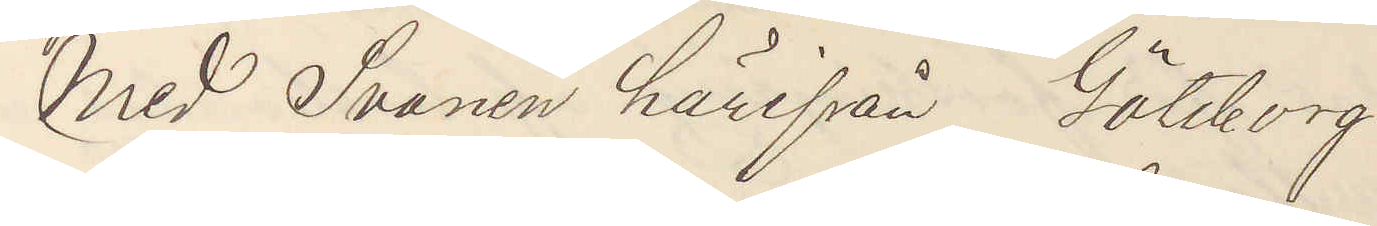Med Svanen härifrån Göteborg
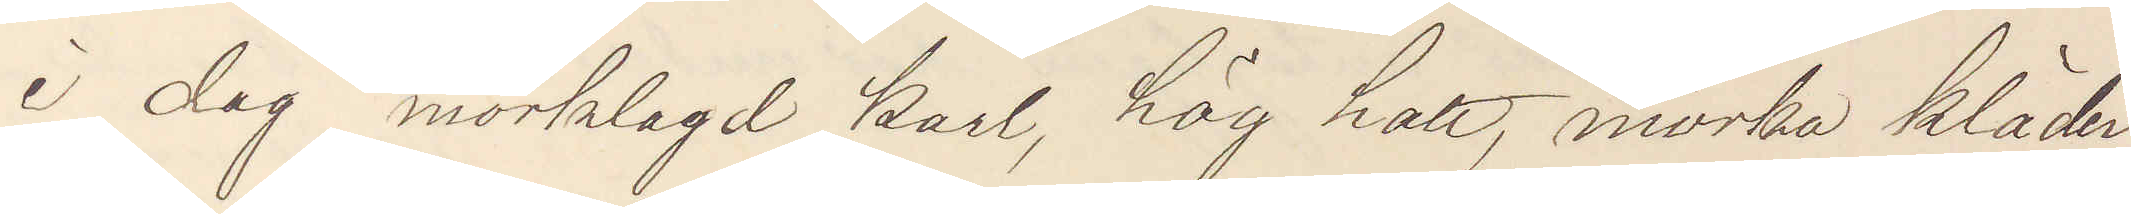i dag mörklagd karl, hög hatt, mörka kläder,
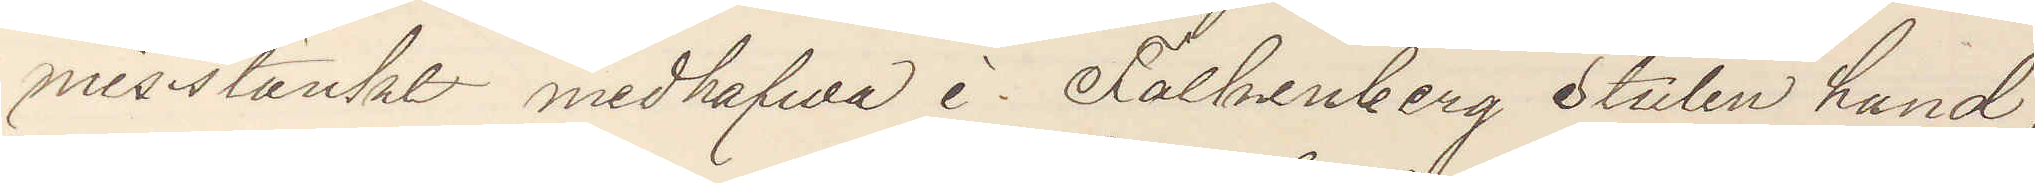misstänkt medhafva i Falkenberg stulen hund,
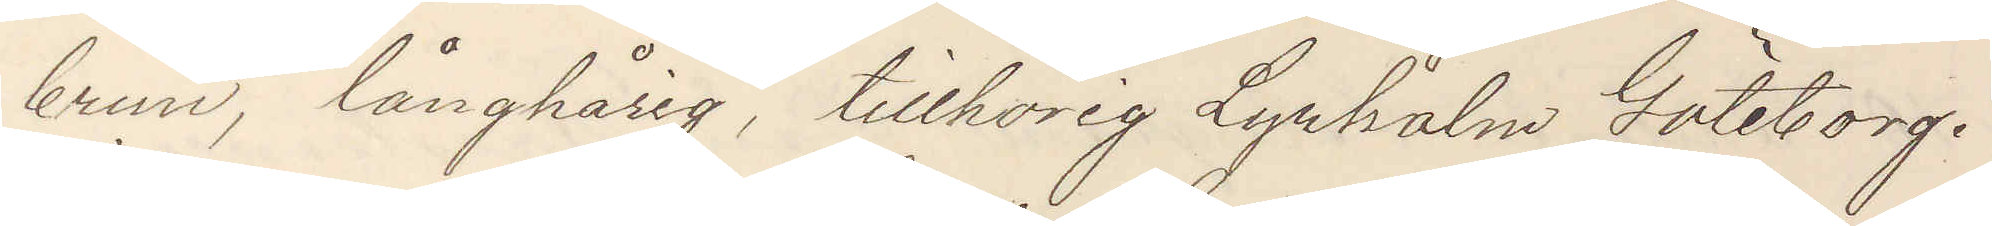brun, långhårig, tillhörig Lyrholm Göteborg.
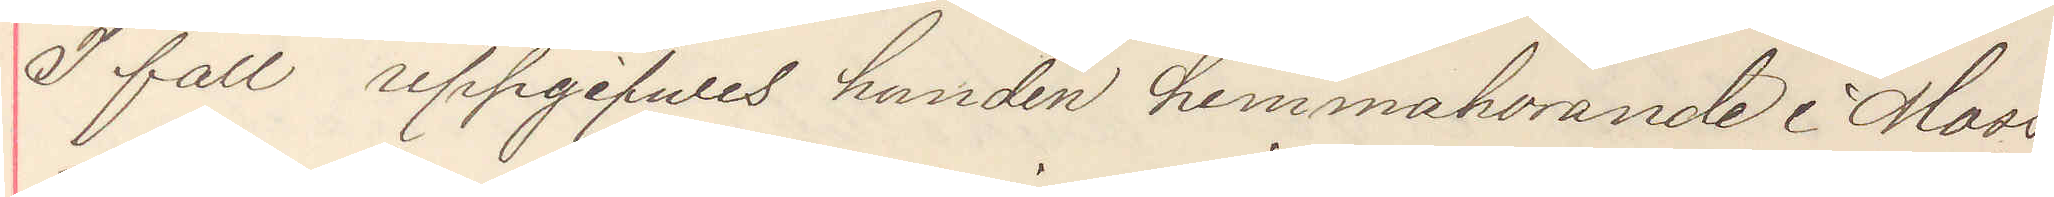I fall uppgifwes hunden hemmahörande i Moss¬
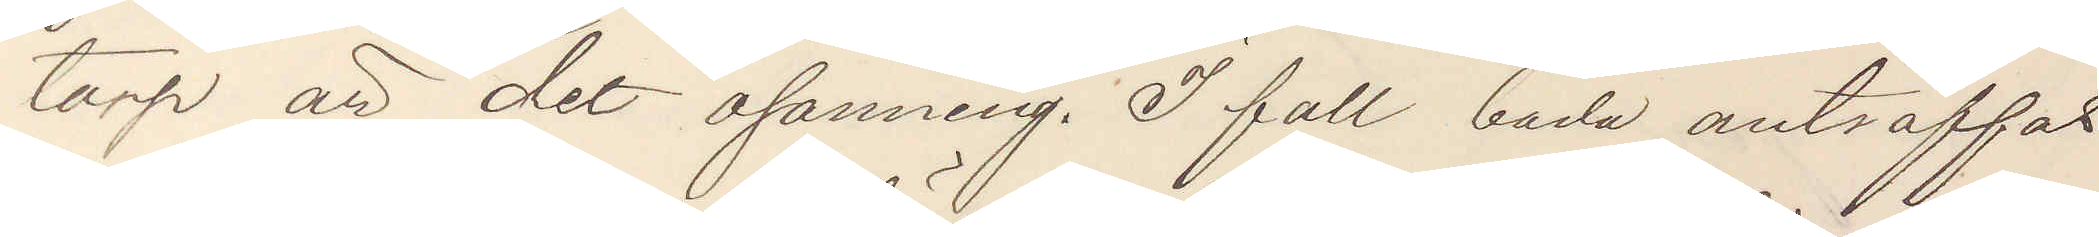torp är det osanning. I fall båda anträffas
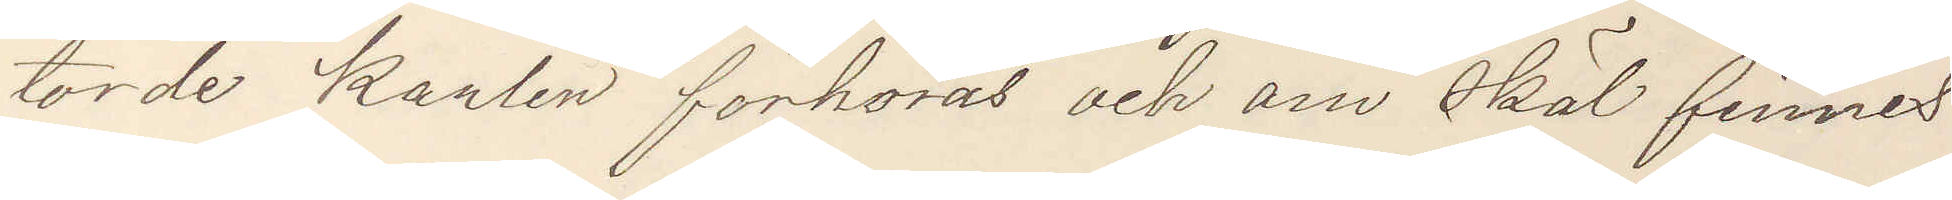torde karlen förhöras och om skäl finnes
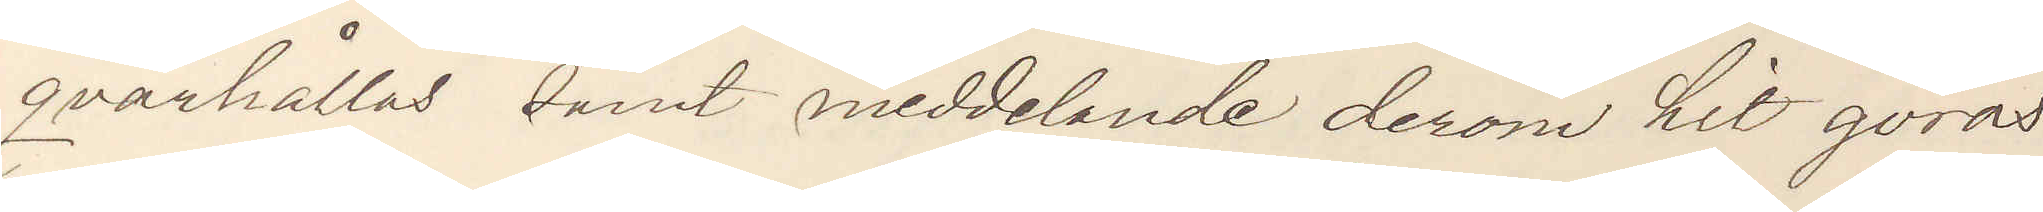qvarhållas samt meddelande derom hit göras
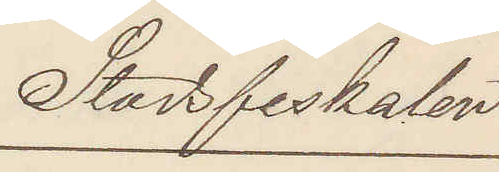Stadsfiskalen
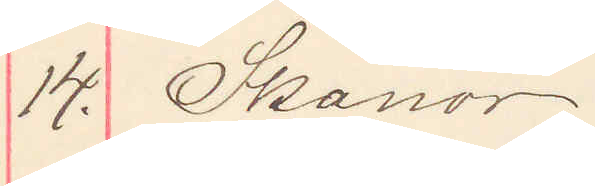14. Skanör
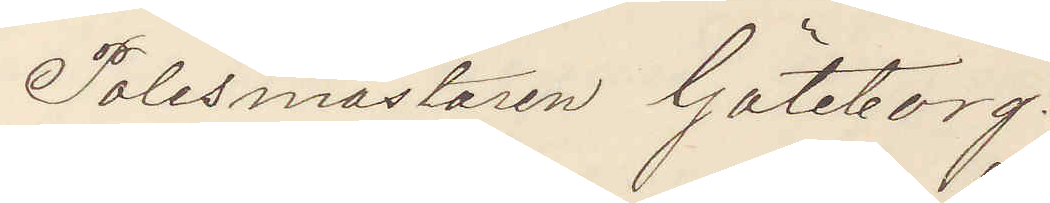Polismästaren Göteborg.
